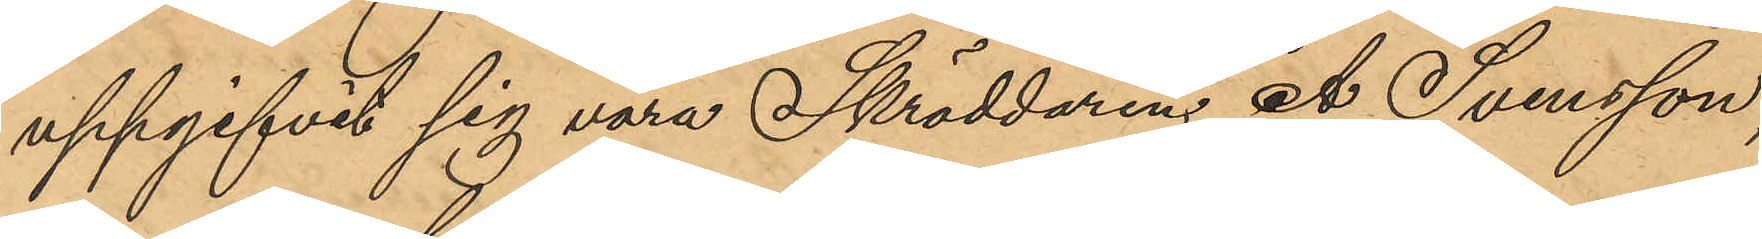uppgifvit sig vara Skräddaren A. Svensson,
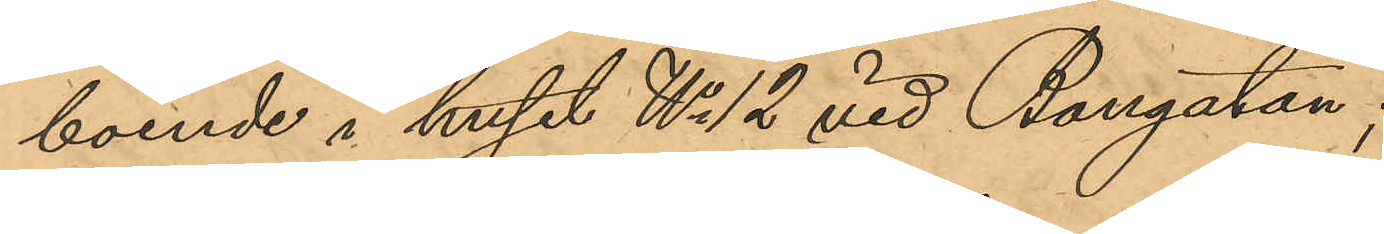boende i huset No 12 vid Bangatan;
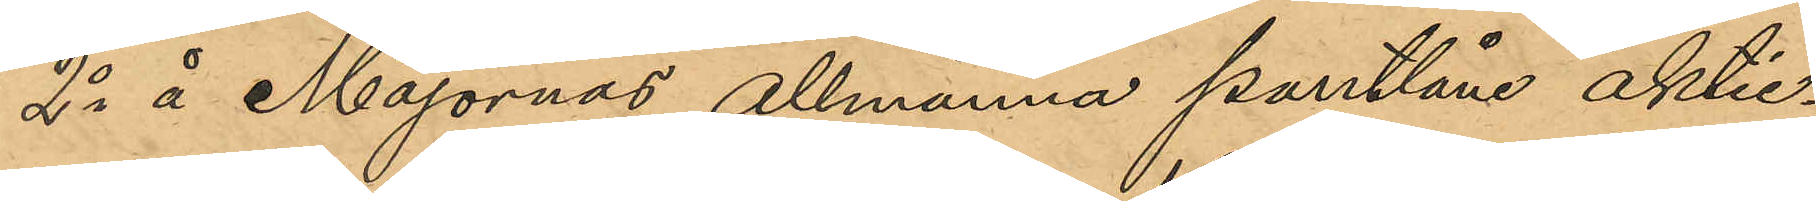2o å Majornas allmänna pantlåne aktie¬
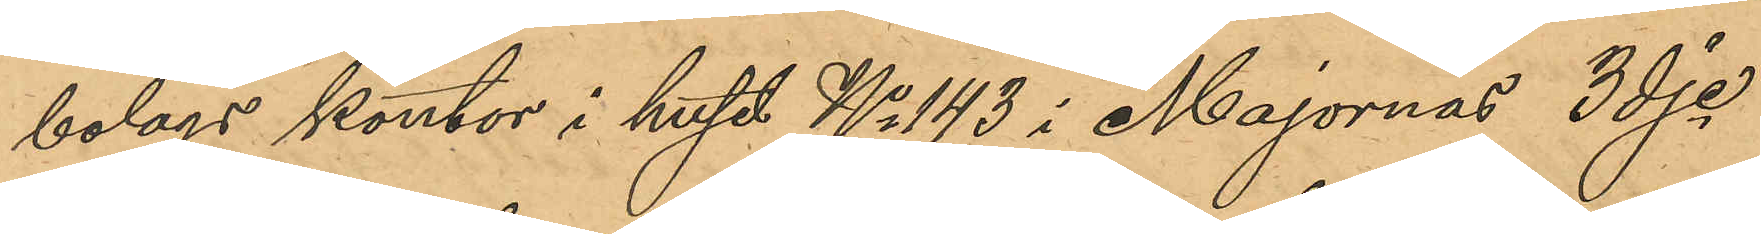bolags kontor i huset No 143 i Majornas 3dje
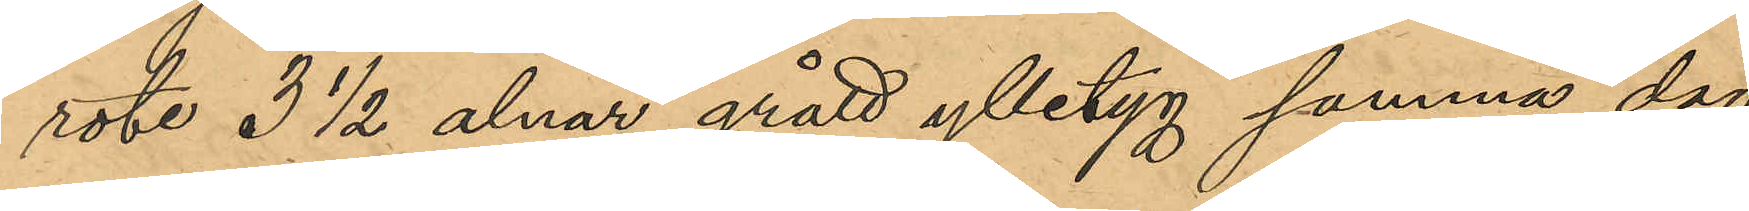rote 3 ½ alnar grått ylletyg samma dag
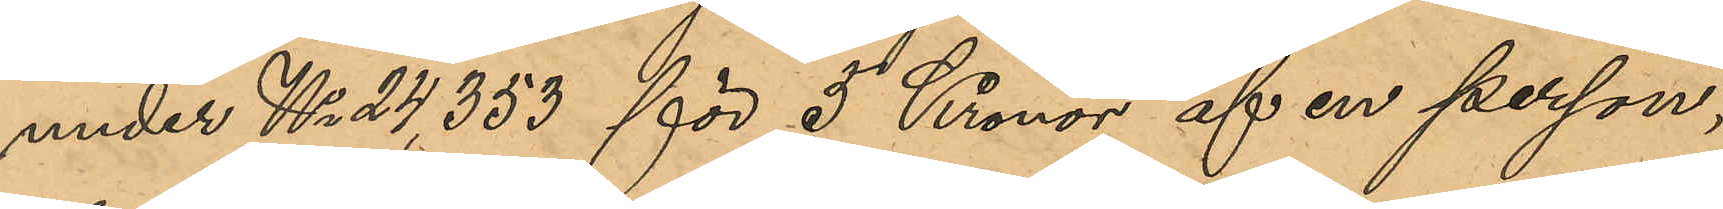under No 24,353 för 5 Kronor af en person,
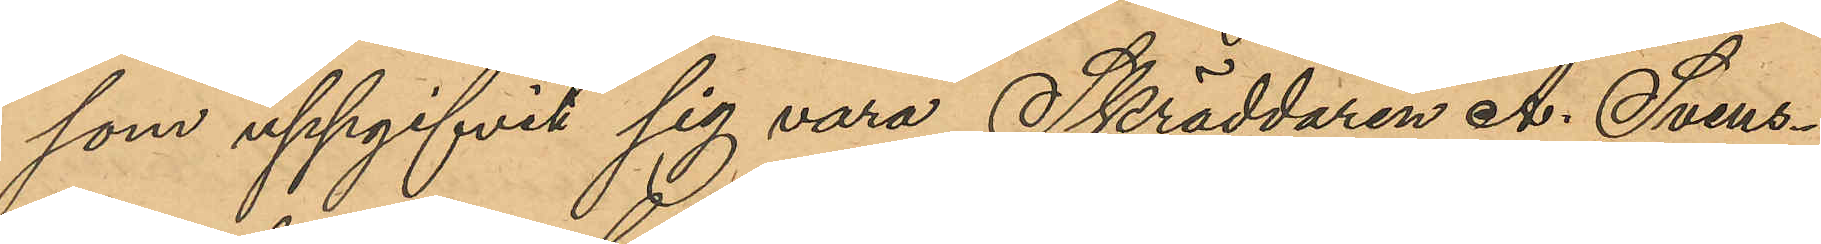som uppgifvit sig vara Skräddaren A. Svens¬
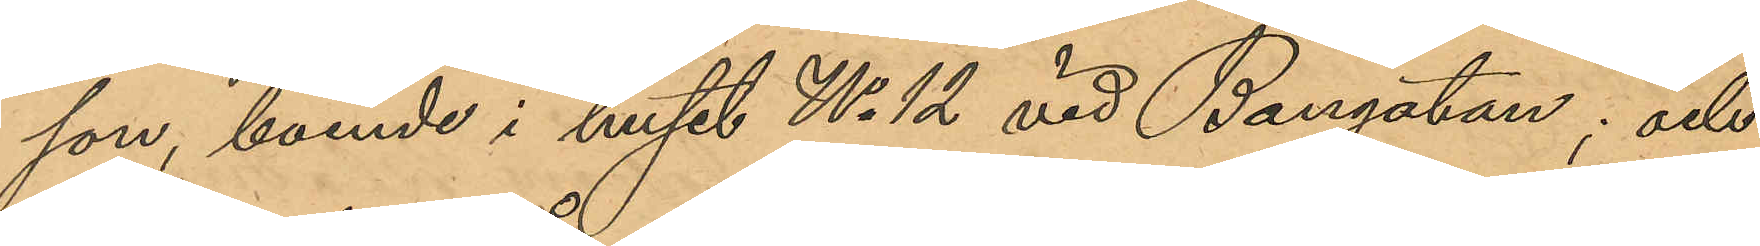son, boende i huset No 12 vid Bangatan; och
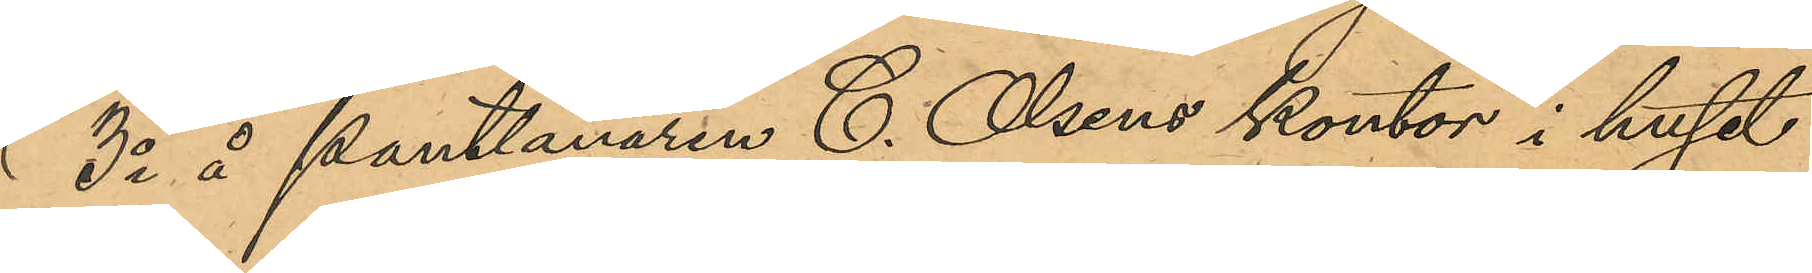3o å Pantlånaren C. Olsens kontor i huset
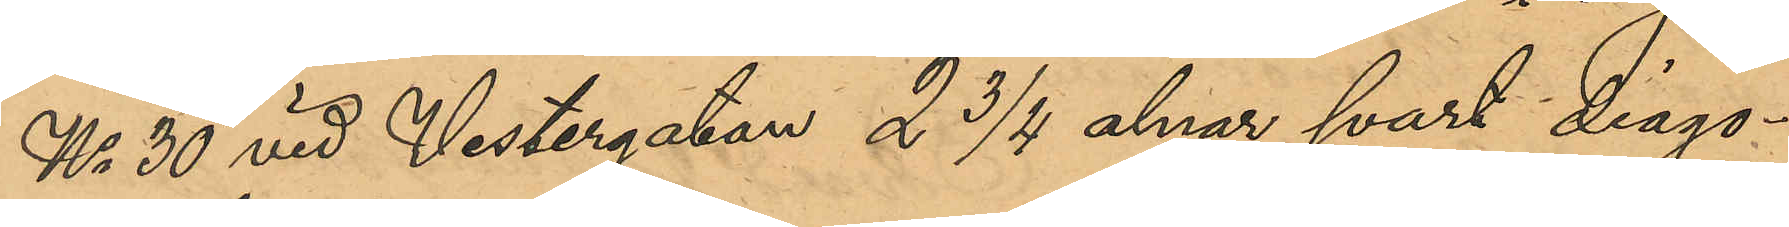No 30 vid Vestergatan 2 3/4 alnar svart diago¬
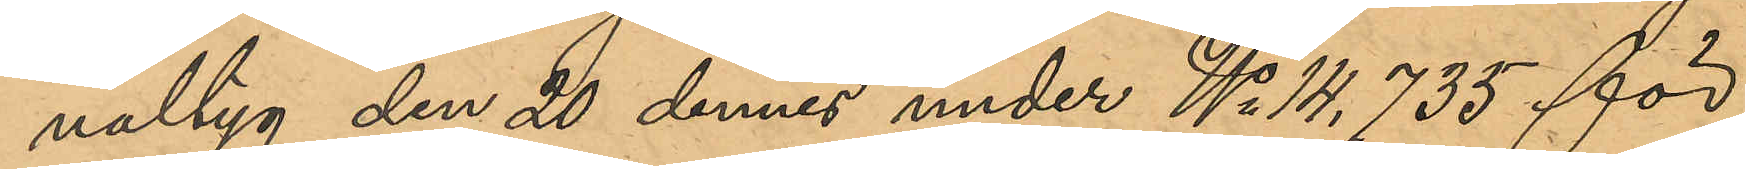naltyg den 20 dennes under No 14,735 för
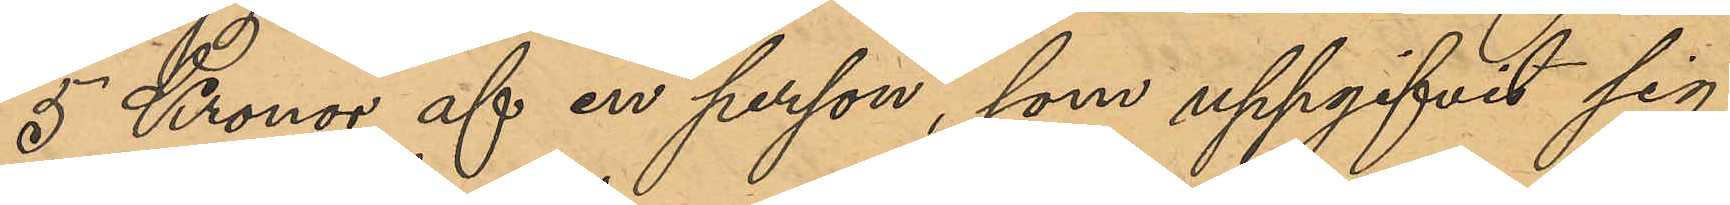5 Kronor af en person, som uppgifvit sig
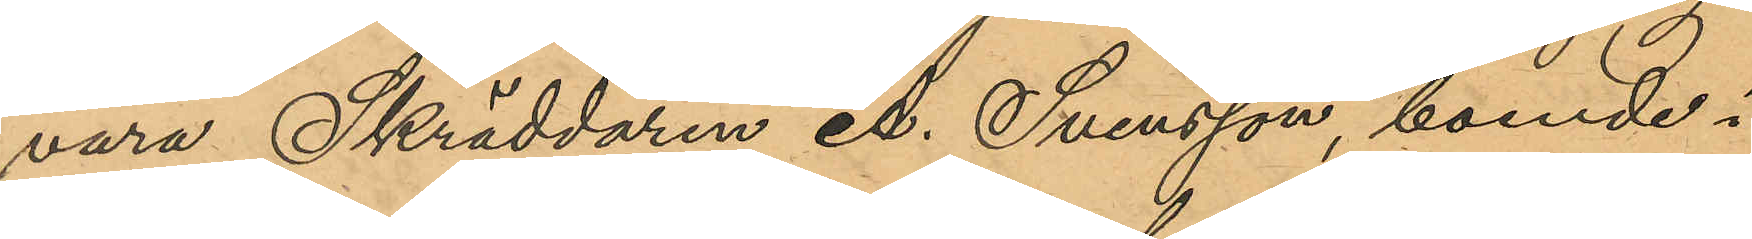vara Skräddaren A. Svensson, boende i
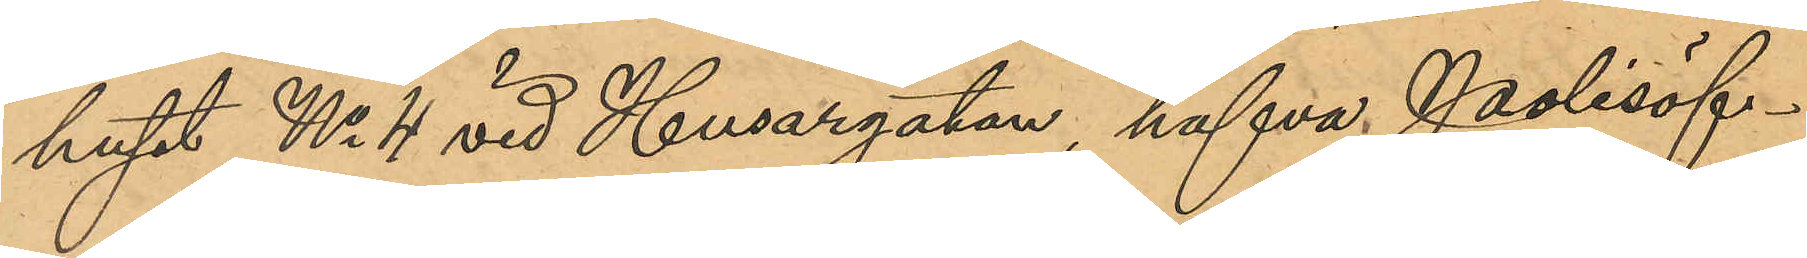huset No 4 vid Husargatan, hafva Polisöf¬
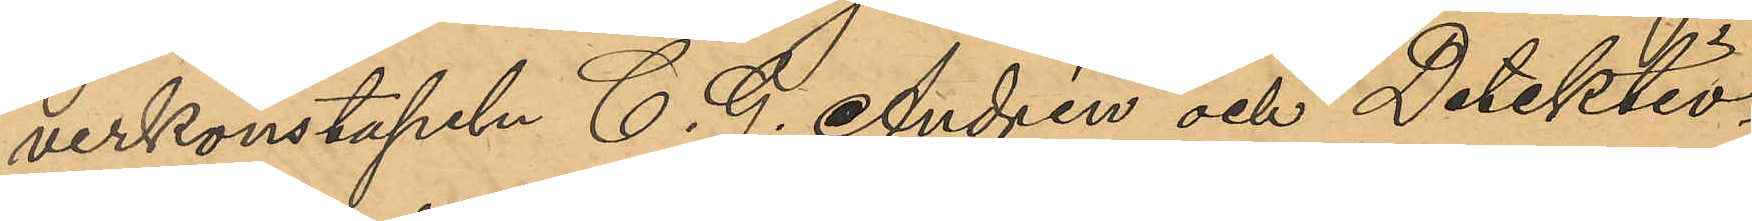verkonstapeln C. J, Andrén och Detektiv¬
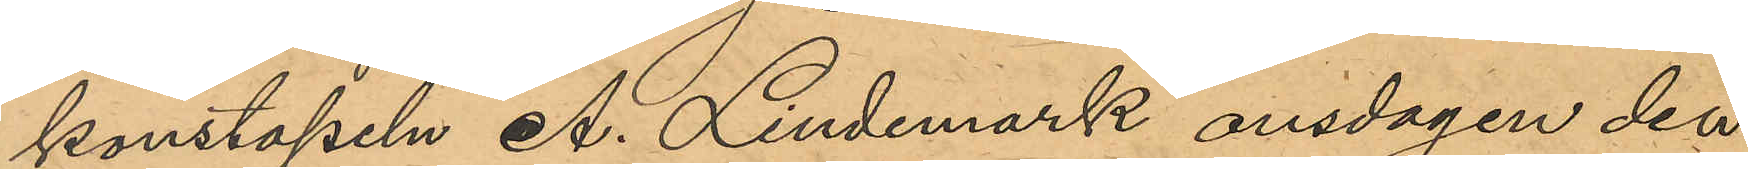konstapeln A. Lindmark onsdagen den
